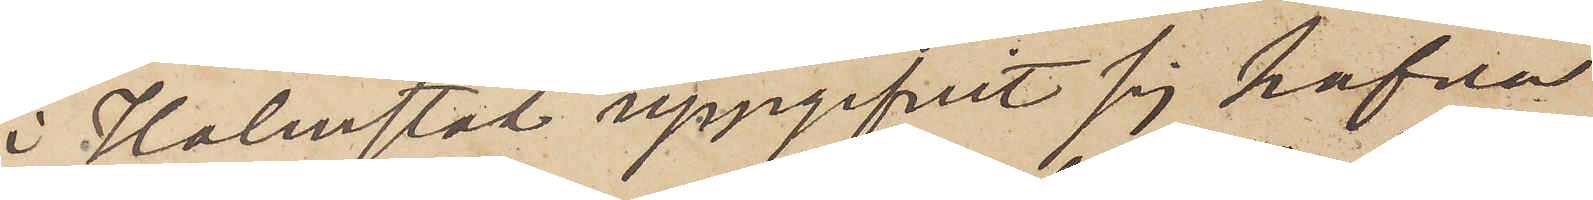i Halmstad uppgifvit sig hafva
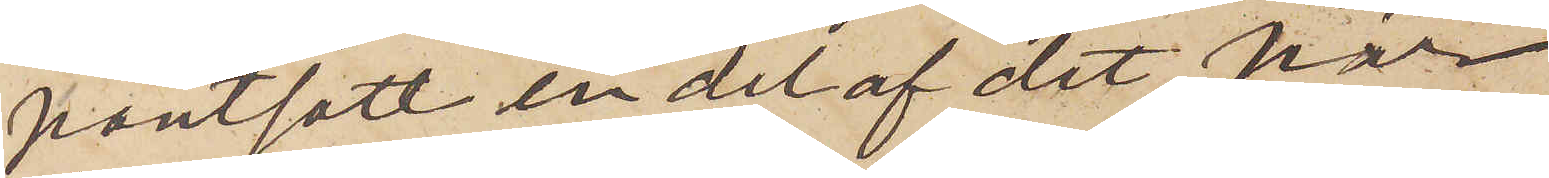pantsatt en del af det här
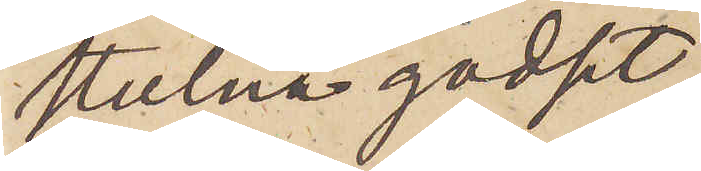stulna godset.
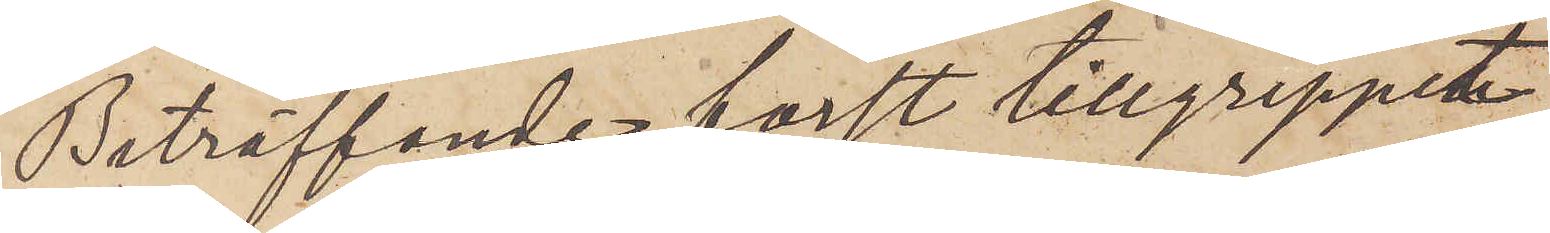Beträffande först tillgreppet
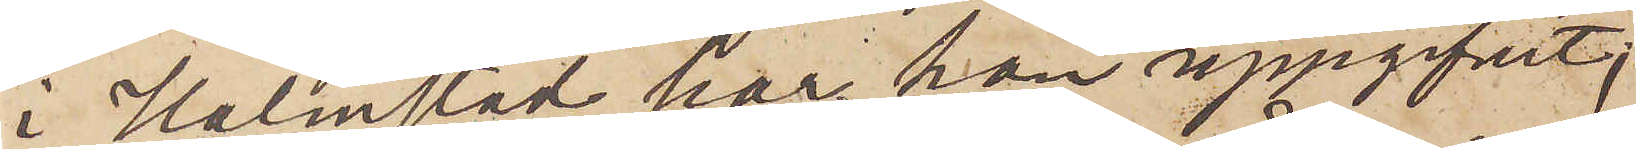i Halmstad, har han uppgifvit,
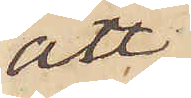att
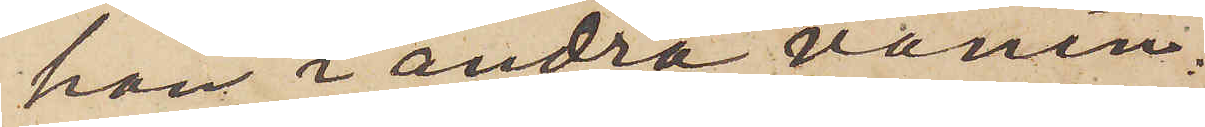han i andra vånin¬
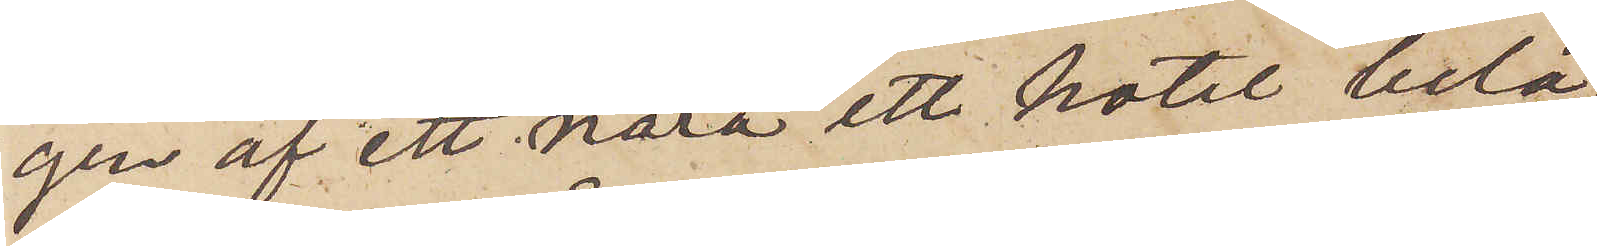gen af ett nära ett hotel belä¬
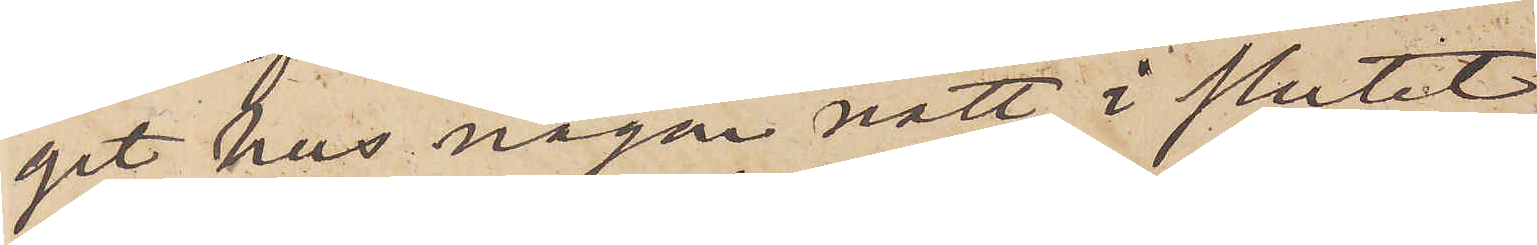get hus någon natt i slutet
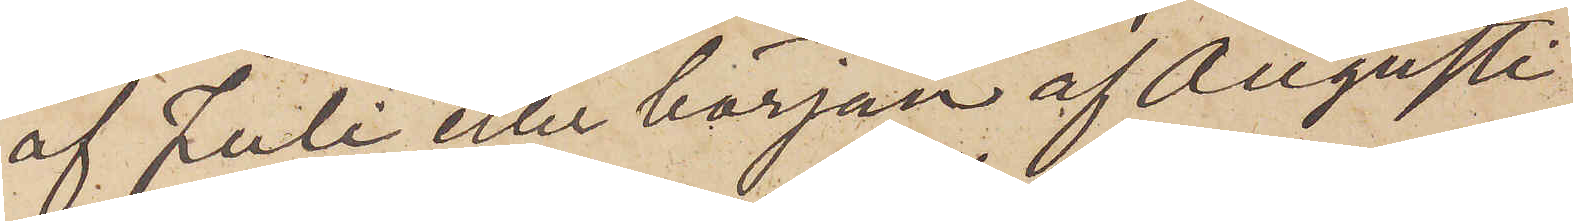af Juli eller början af Augusti
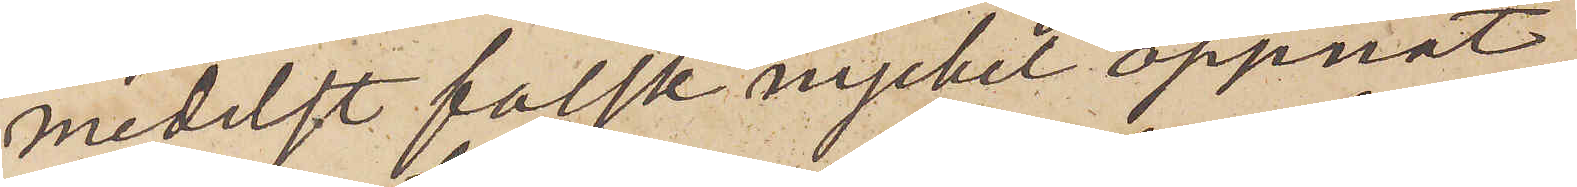medelst falsk nyckel öppnat
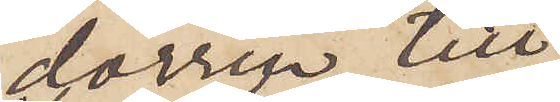dörren till
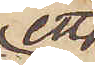ett
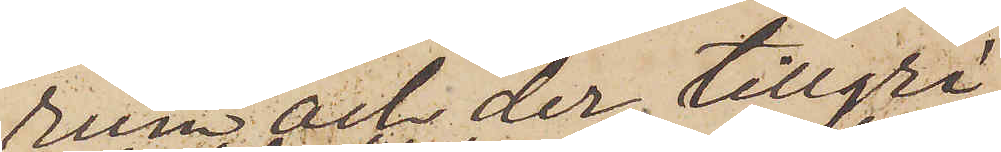rum och der tillgri¬
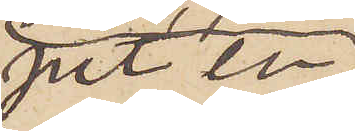pit en
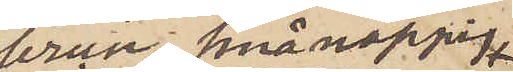brun smånoppig
